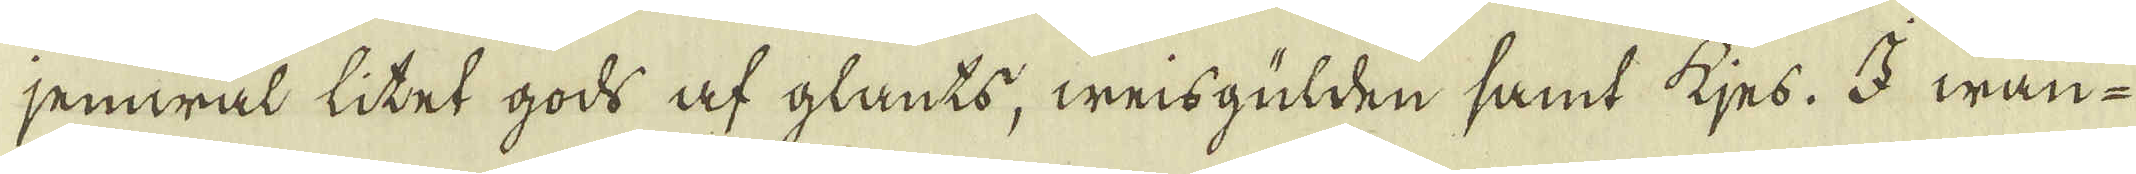jemwäl litet gods af glants, weisgülden samt kjes. I wan-
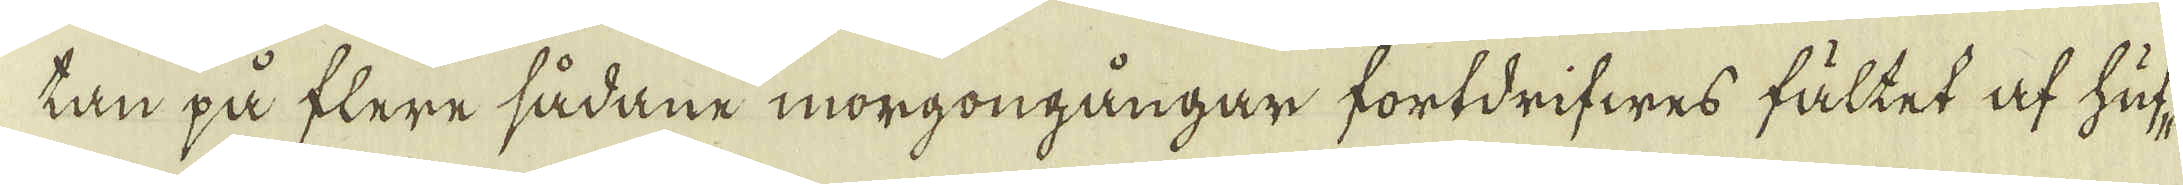tan på flere sådane morgongångar fortdrifwes fältet af huf-
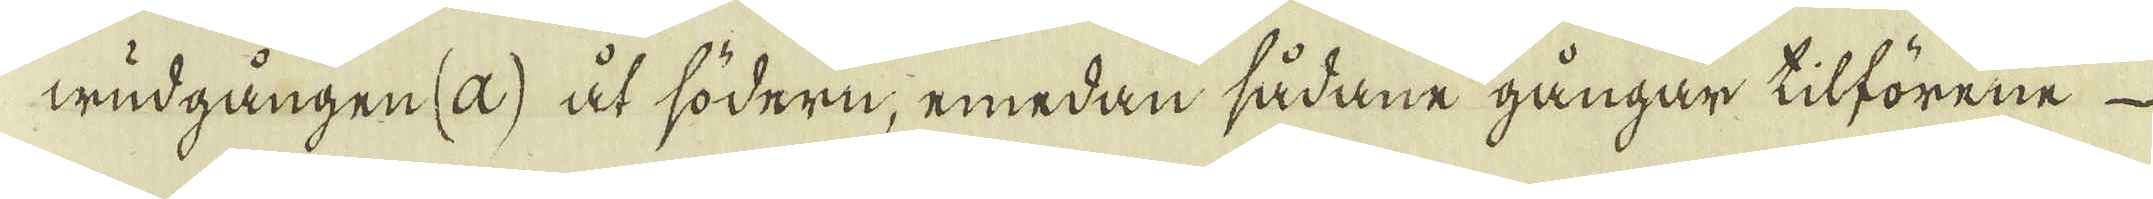wudgången (a) åt södern, emedan sådane gångar tilförene
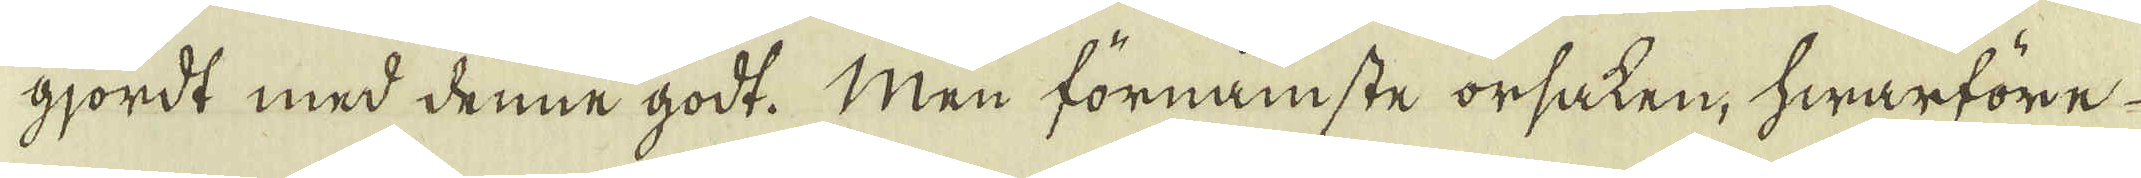gjordt med denne godt. Men förnämste orsaken, hwarföre
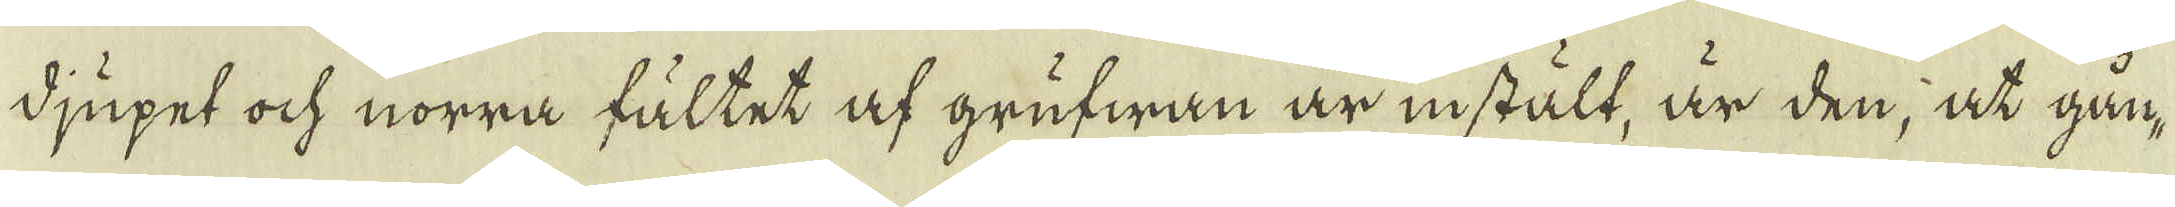djupet ock norra fältet af grufwan är instält, är den, at gån-
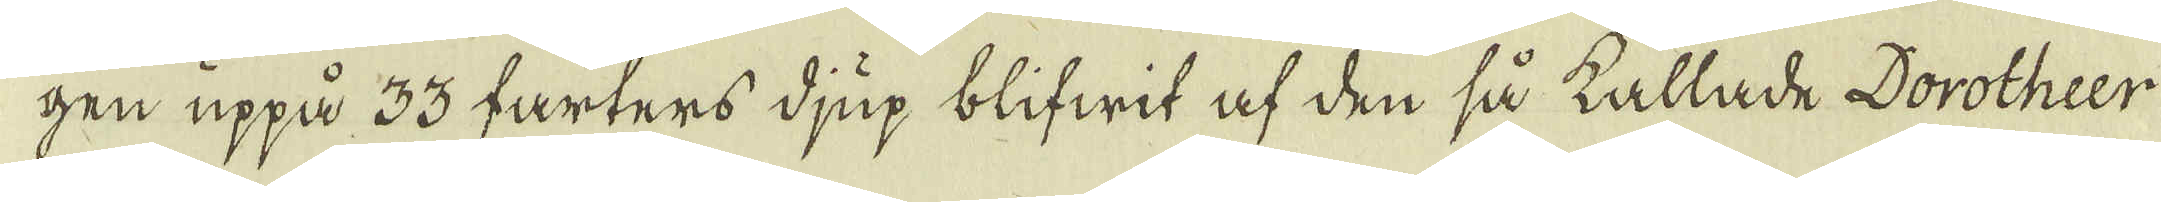gen uppå 33 farters djup blifwit af den så kallade Dorotheer
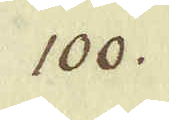100.
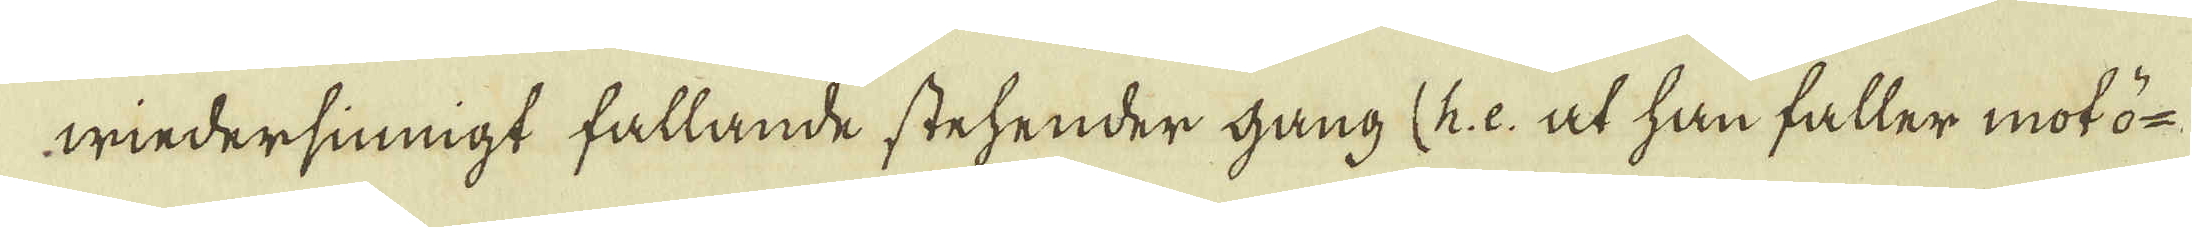wiedersiningt fallande stehender gang (h: e: at han faller mot ö-
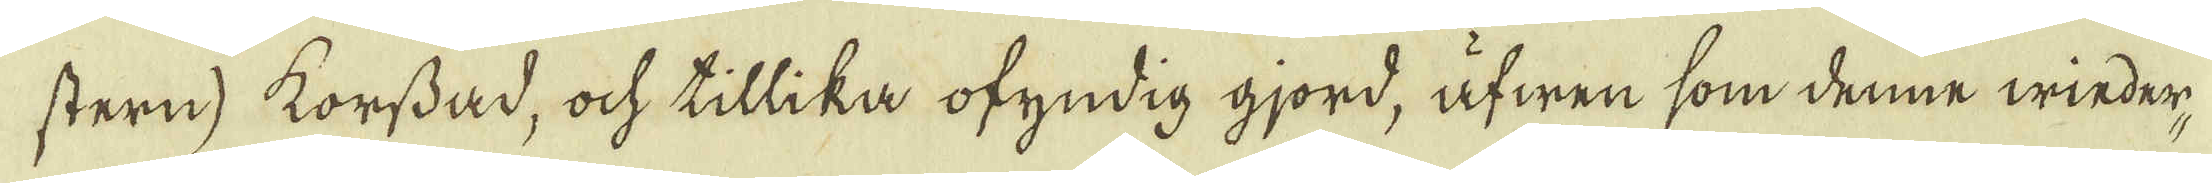stern) korssad, ock tillika ofyndig gjord, äfwen som denne wieder-
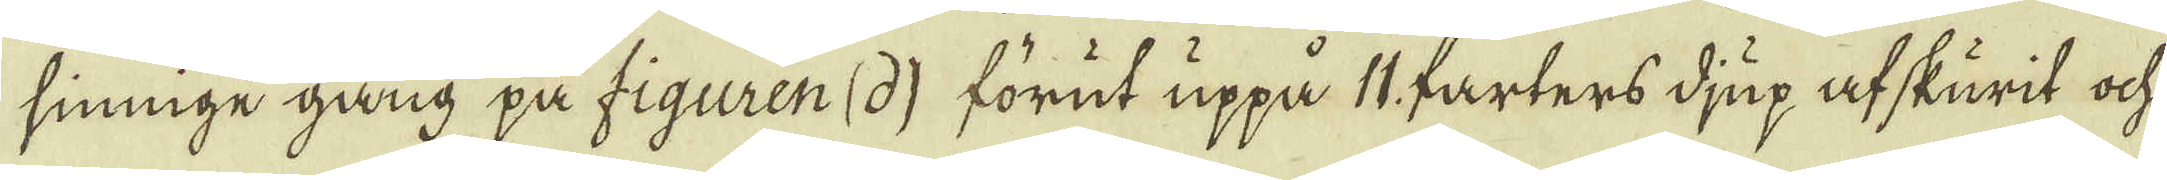sinnige gång på figuren (d) förut uppå 11 farters djup af skurit ock
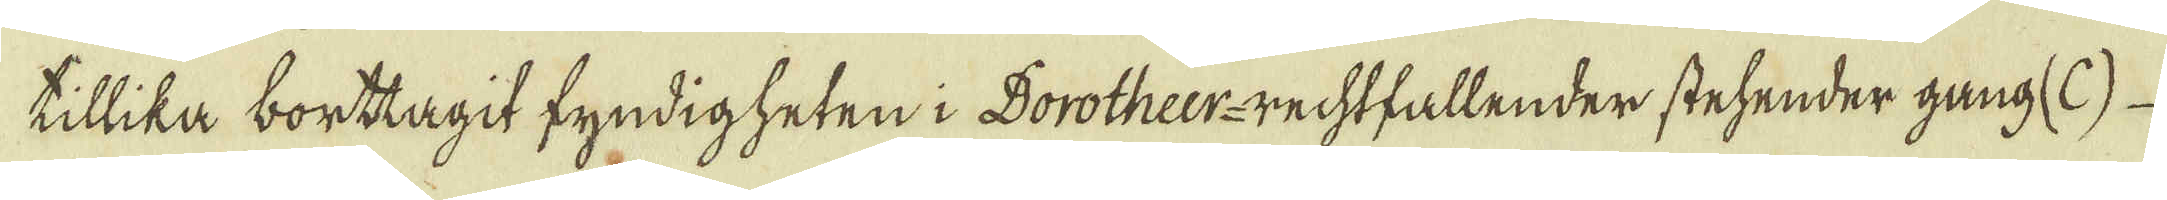tillika borttagit fyndigheten i Dorotheer-rechtfallender stehender gang (C)
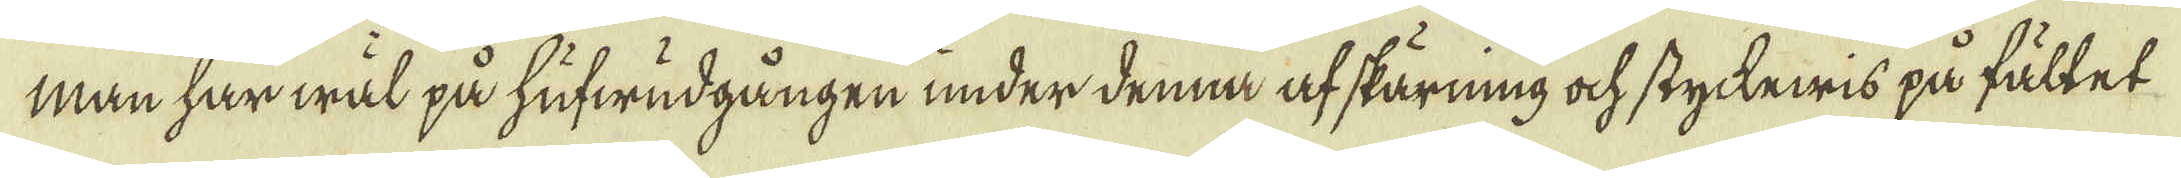man har wäl på hufwudgången under denna af skärning ock styckewis på fältet
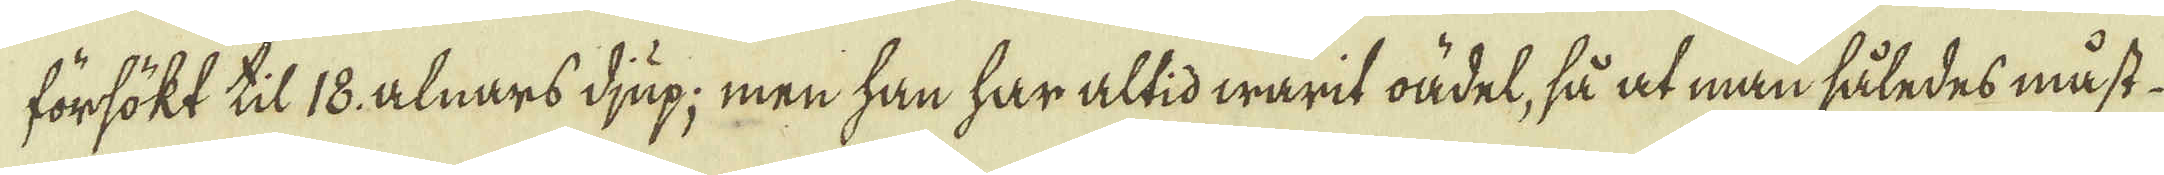försökt til 18. alnars djup; men han har altid warit oädel, så at man således måst
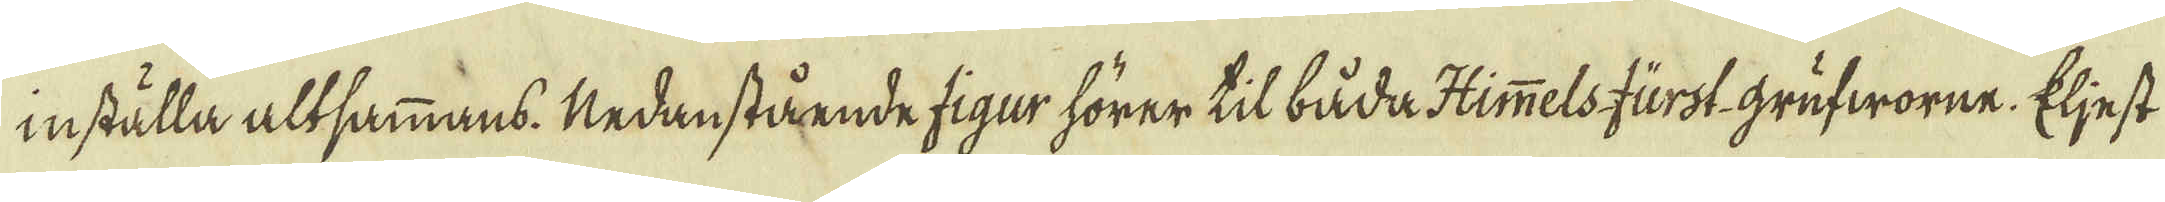inställa altsammans. Nedanstående figur hörer til båda Himmelsfurst grufworne. Eljest
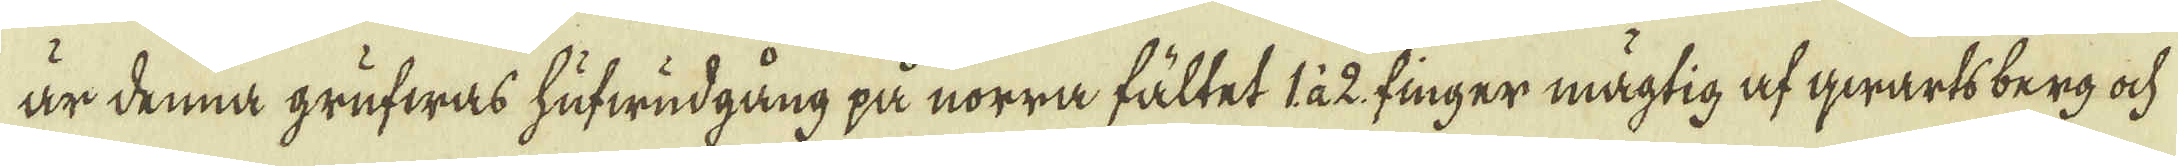är denna grufwas hufwudgång på norra fältet 1 à 2 finger mägtig af qwarts berg ock
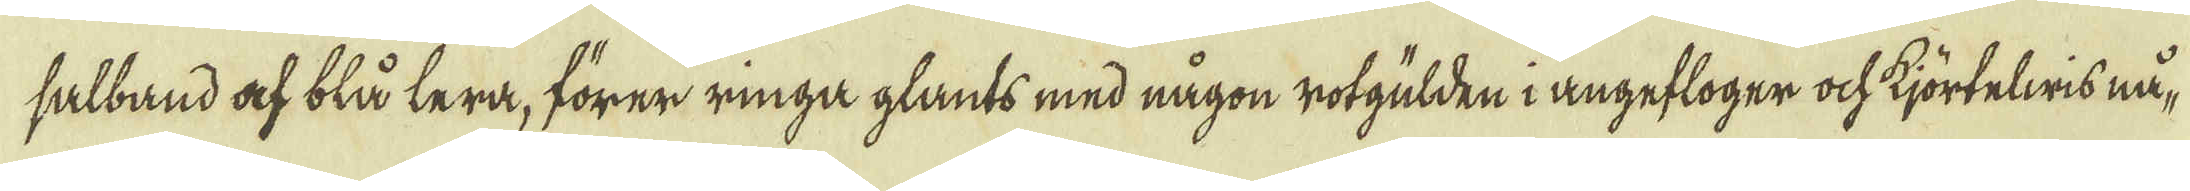salband ack blå lera, förer ringa glants med någon rotgülden i angefloger ock kjörtelwis nå-
